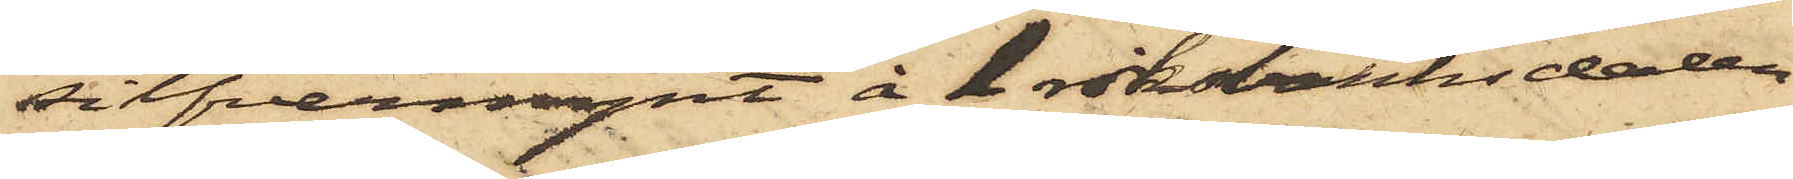silfvermynt å 1 riksbanksdaler.
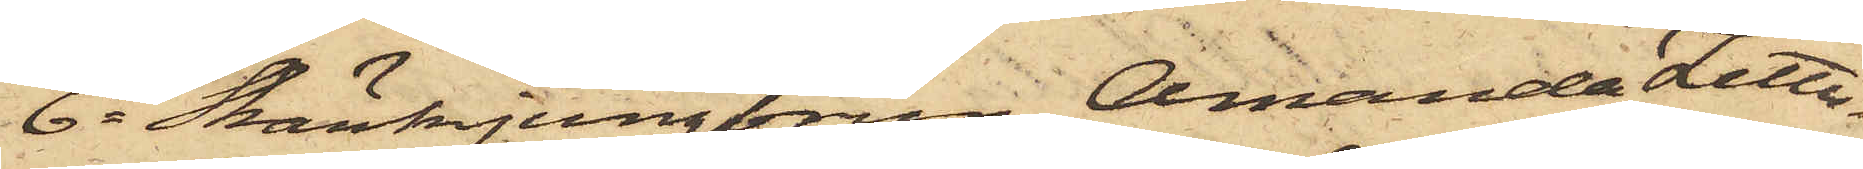6o Skänkjungfrun Amanda Zetter¬
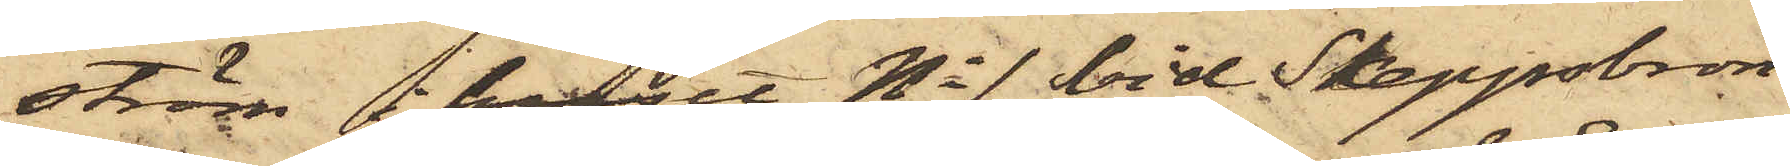ström i huset No 1 vid Skeppsbron
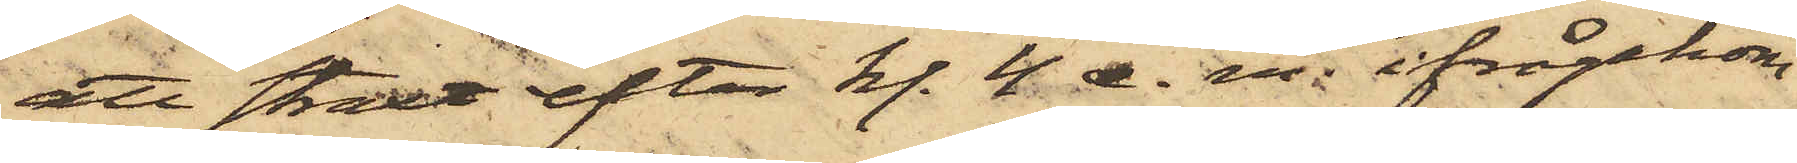att straxt efter kl. 4. e. m. ifrågakom¬
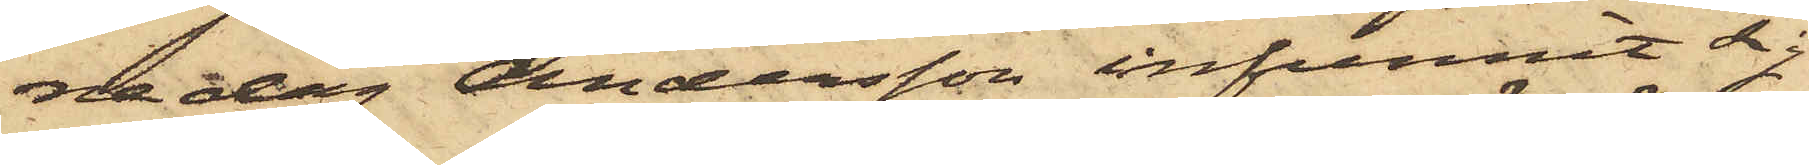na dag Andersson infunnit sig
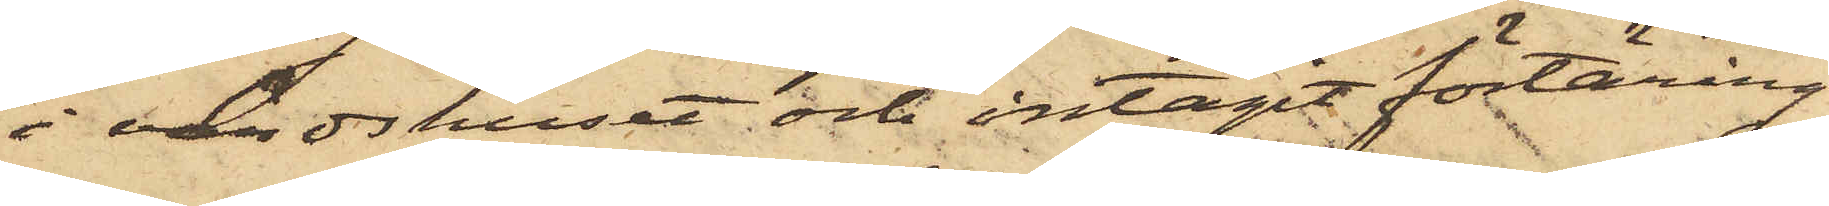i värdshuset och intagit förtäring
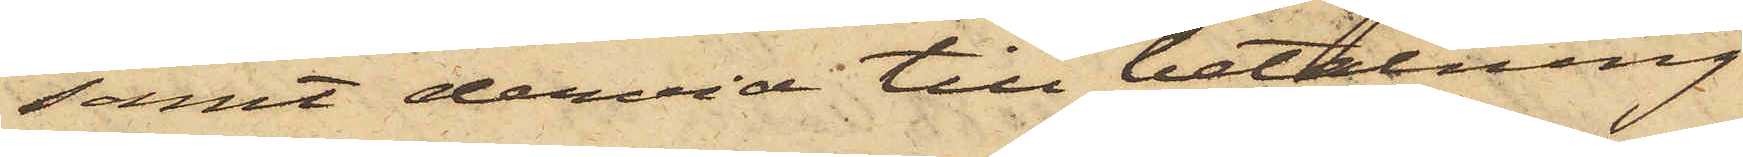samt dervid till betalning
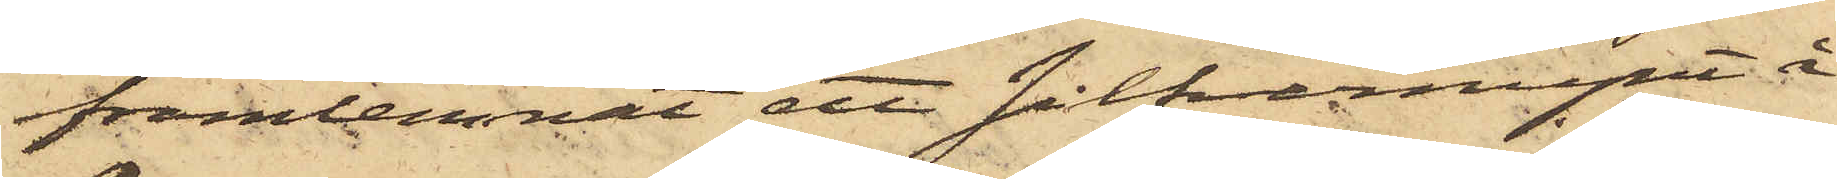framlemnat ett silfermynt å
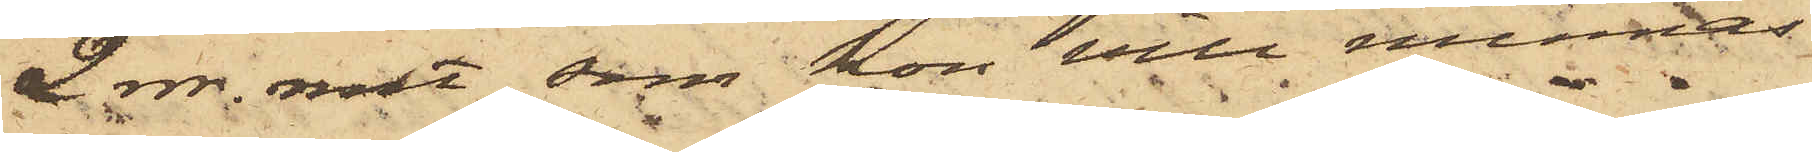2 rdr. rmt, som hon vill minnas
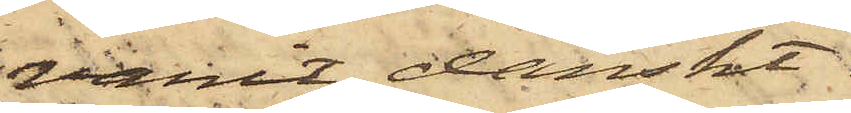varit danskt.
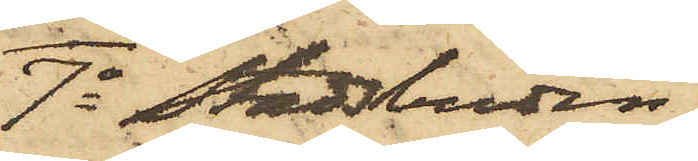7o Stadsbuden
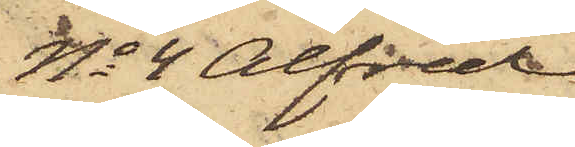No 4 Alfred
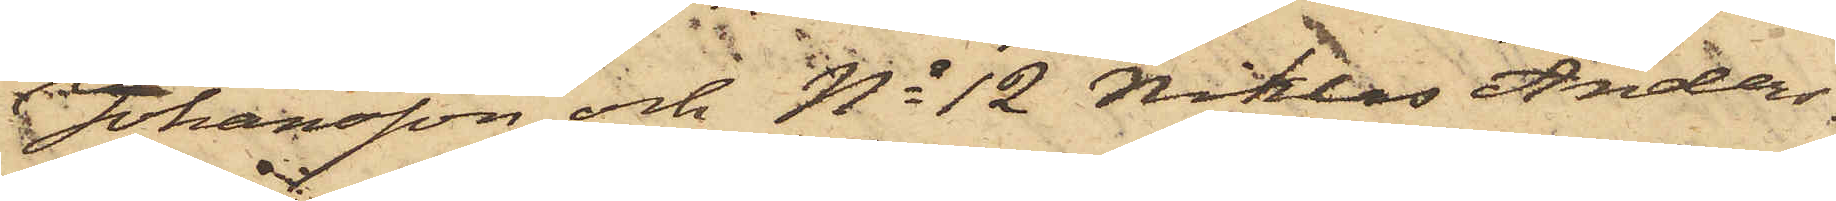Johansson och No 12 Niklas Anders¬
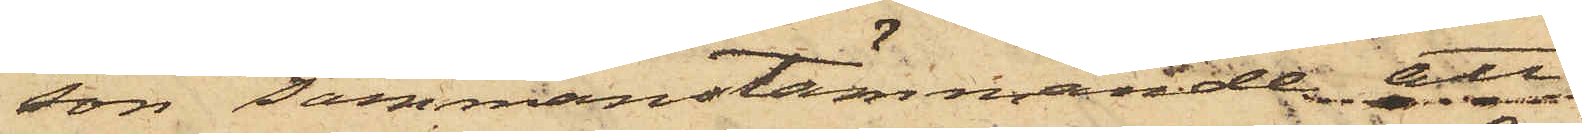son sammanstämmande att
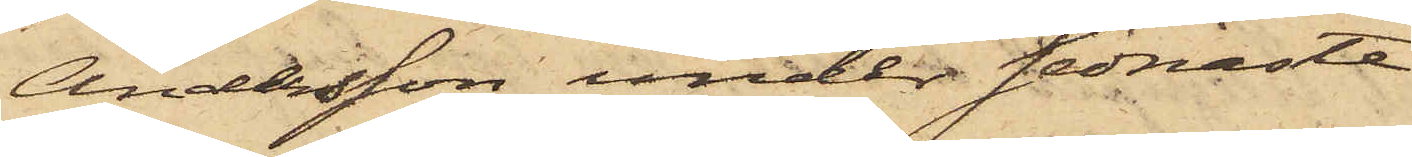Andersson under sednaste
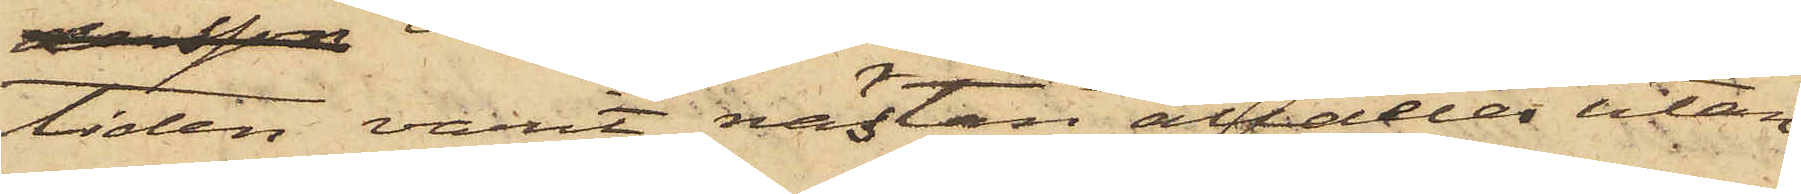tiden varit nästan alldeles utan
